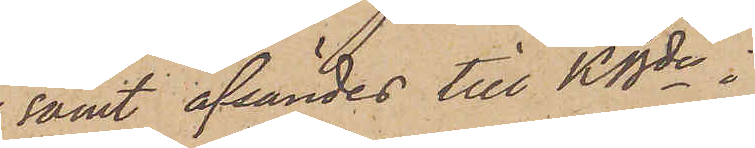samt afsändes till KBde i
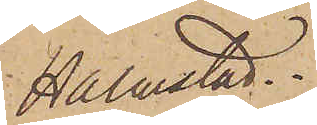Halmstad.
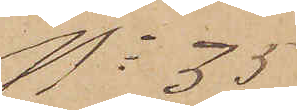No 35
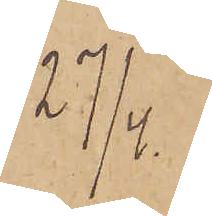27/4.
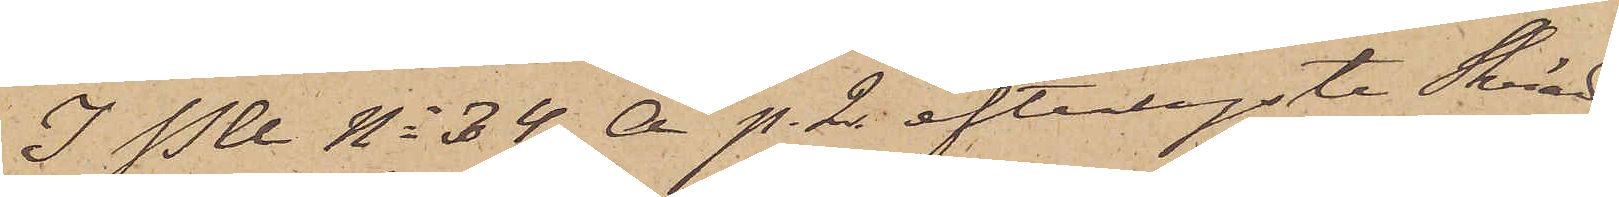I P U No 34 A p. 2 efterlyste Skräd¬
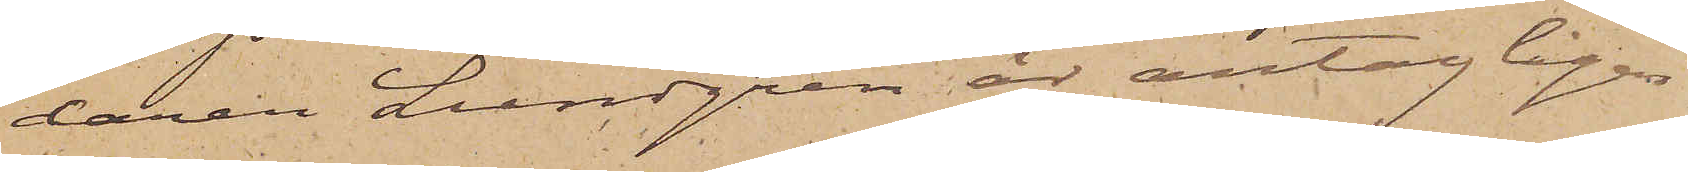daren Lundgren är antagligen
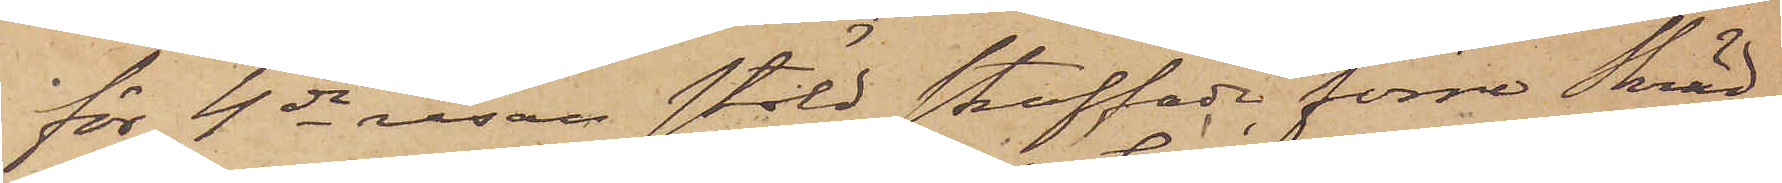för 4de resan stöld straffade förre Skräd¬
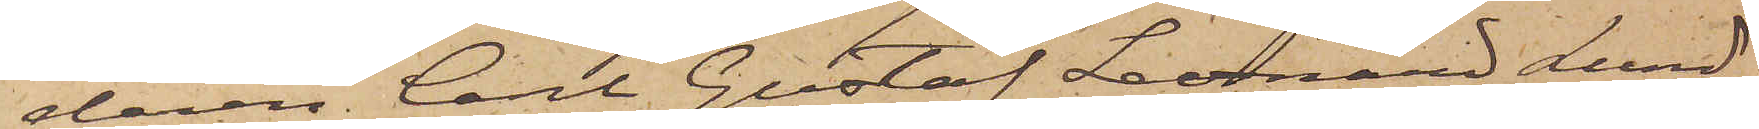daren Carl Gustaf Leonard Lund¬
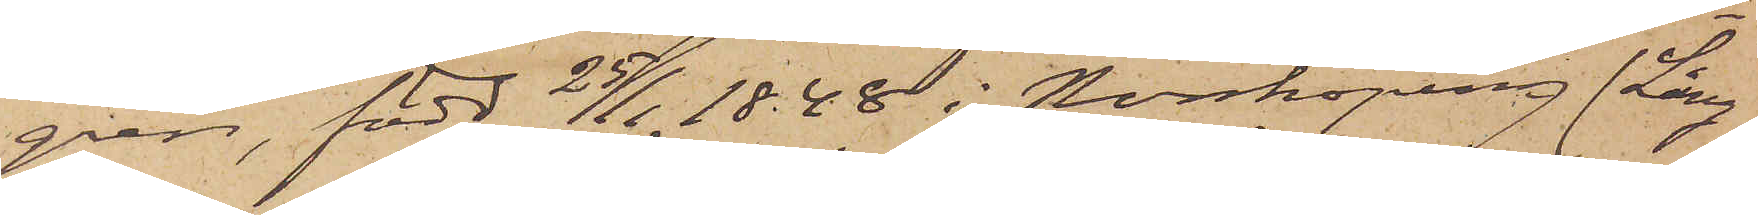gren, född  25/1 1848 i Norrköping (Lång¬
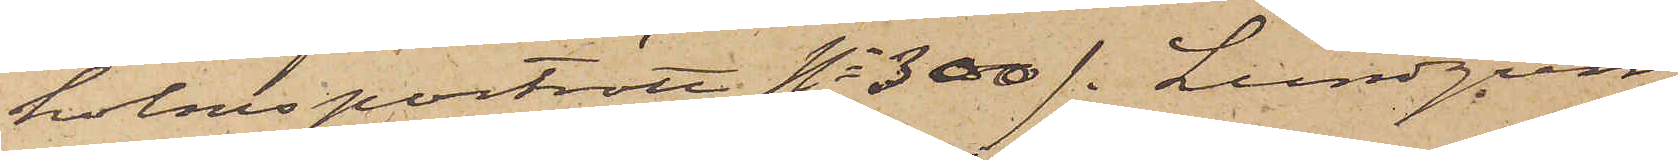holms porträtt No 300). Lundgren
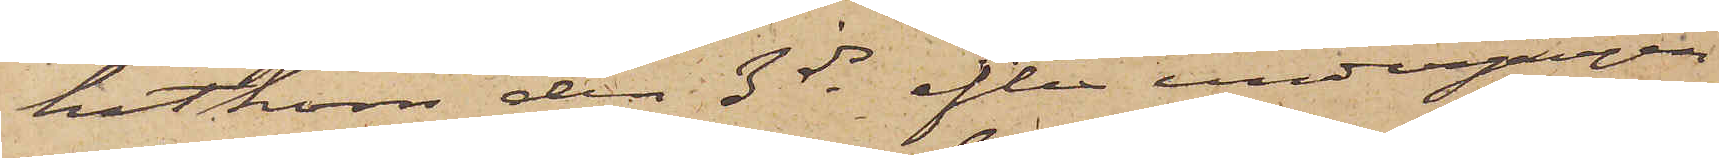hitkom den 3 ds efter undergången
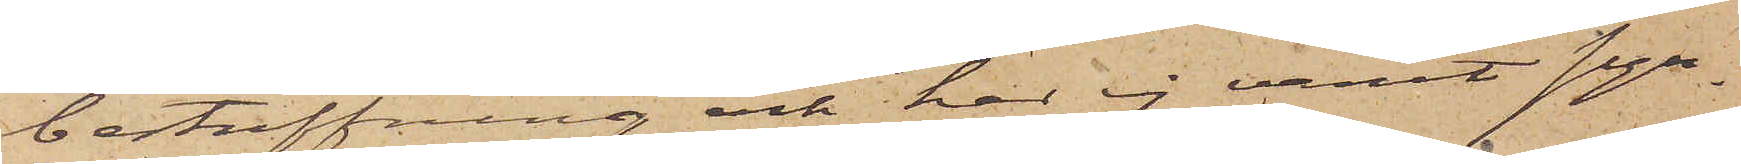bestraffning och har ej varit syn¬
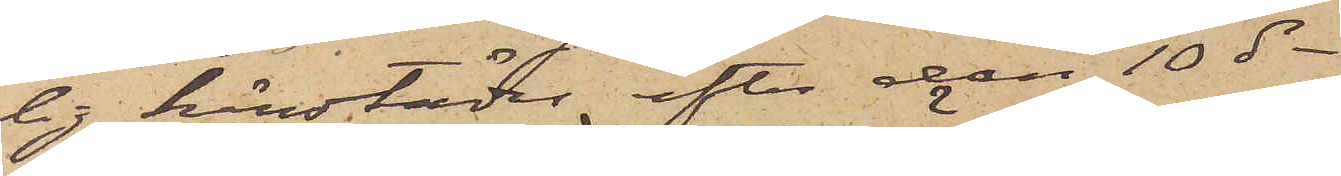lig härstädes efter den 10 ds.
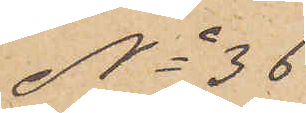No 36
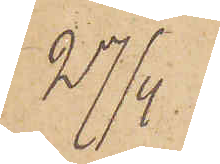27/4
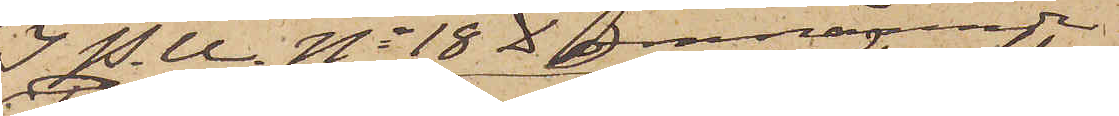I P. U. No 18 D omnämnde
